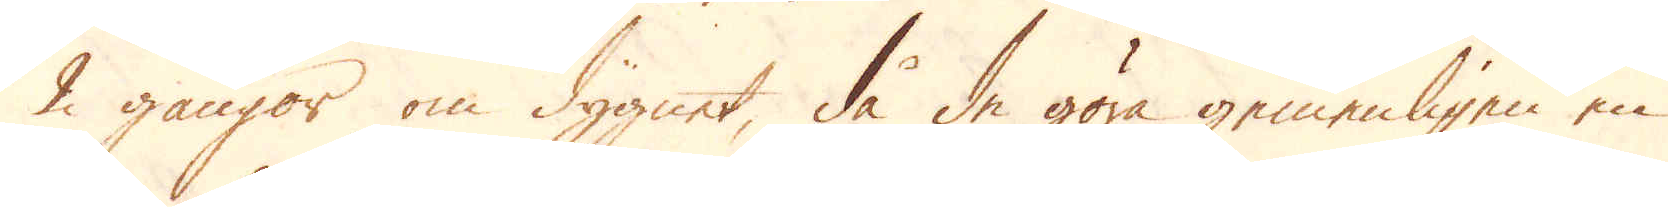2 gångor om dygnet, då de göra gemenligen en
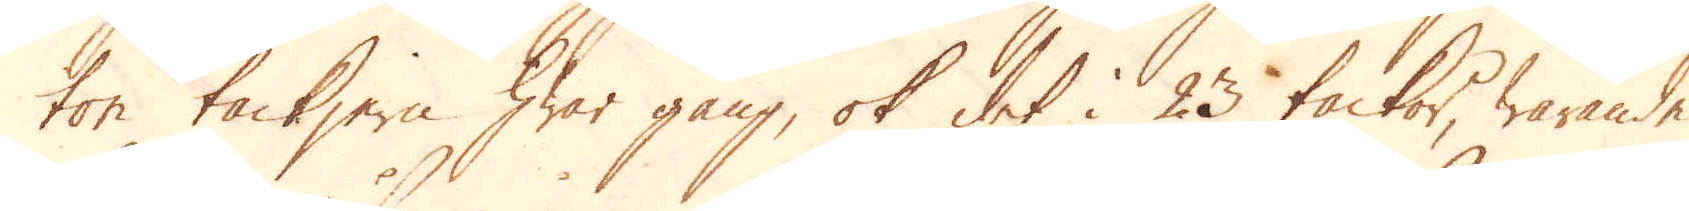ton tackjern hwar gång, ok det i 23 tackor, warande
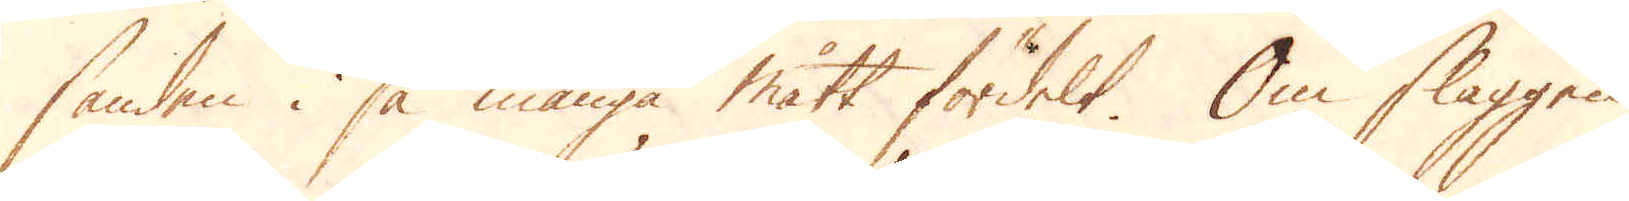sanden i så många mått fördelt. Om slaggen
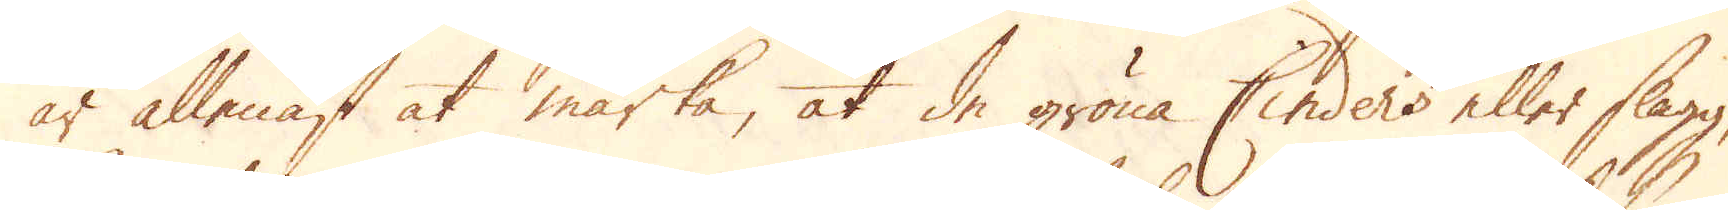är allenast at märka, at de gröna Cinders eller slagg,
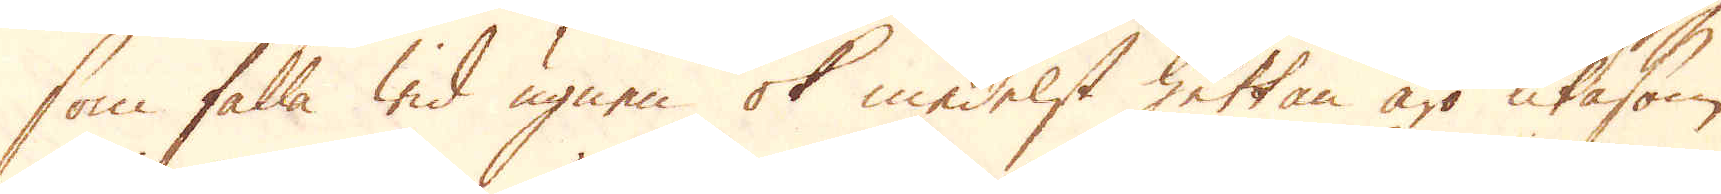som falla wid ugnen ok medelst hettan äro lika som
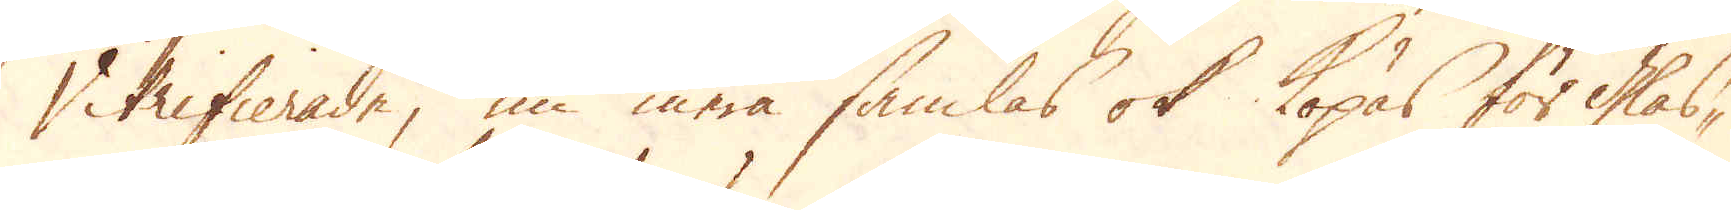Vitrifierade, nu mera samlas ok köpas för Glas-
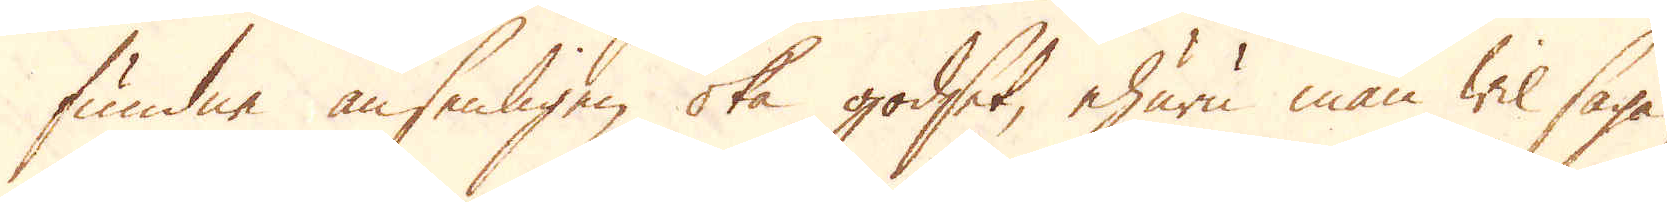fundne ansenligen öka godset, ehuru man wil säga
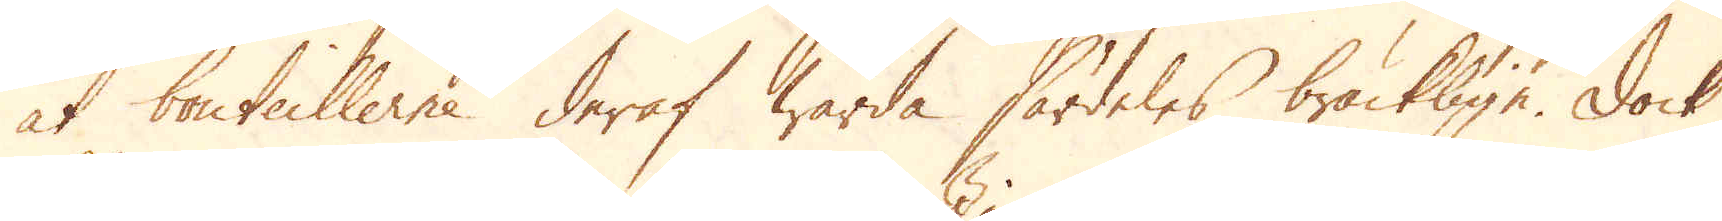at bouteillerne deraf warda särdeles bräcklige. Dock
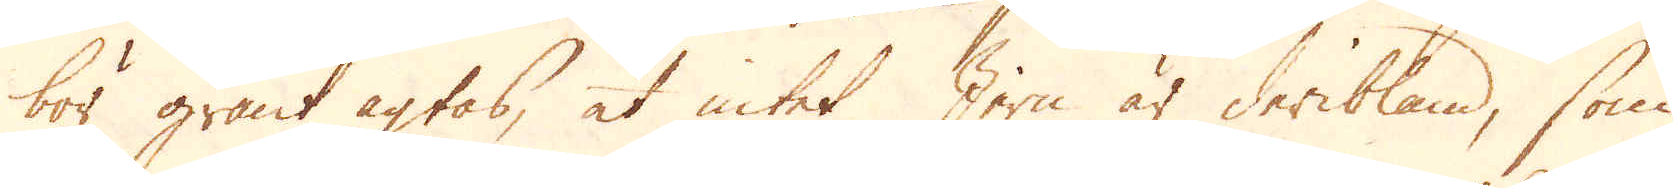bör grant agtas, at intet Jern är deribland, som
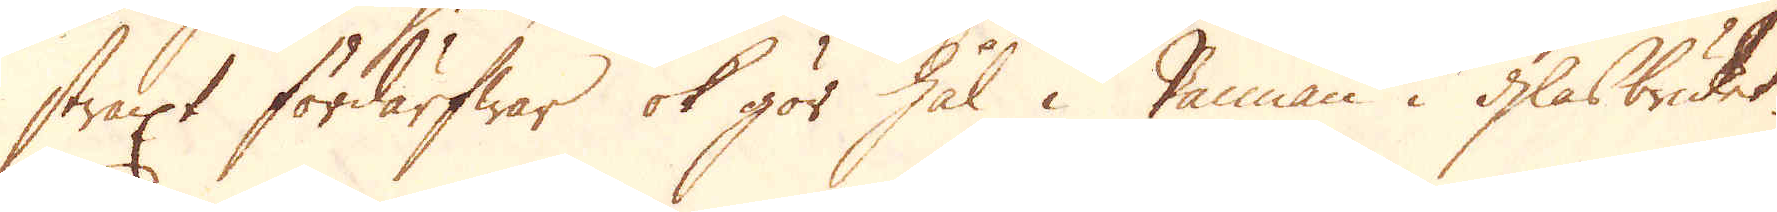straxt fördärfwar ok gör hål i Pannan i glasbruket.
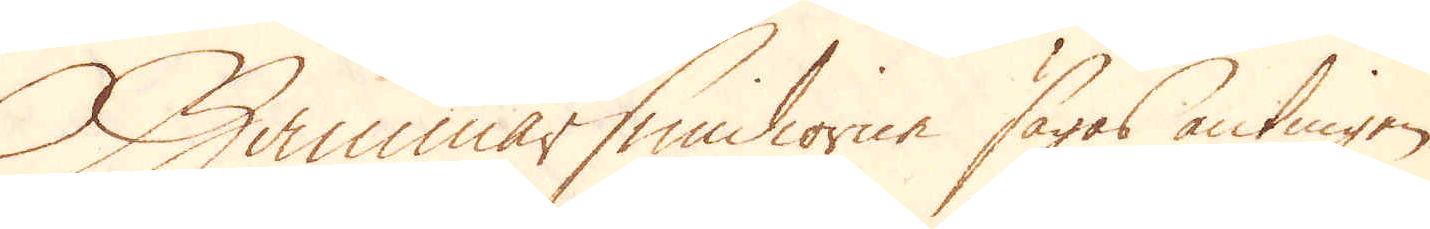Hammarsmidiorne sägas antingen
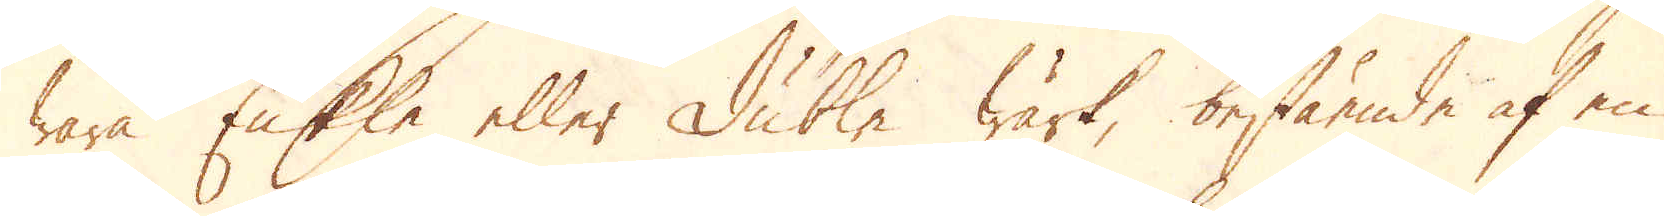wara Enkla eller Dubbla Wärk, bestående af en
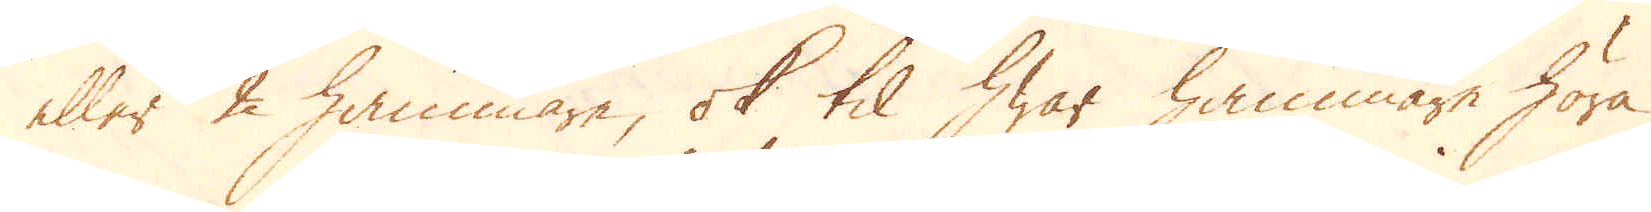eller 2 hammare, ok til hwar hammare höra
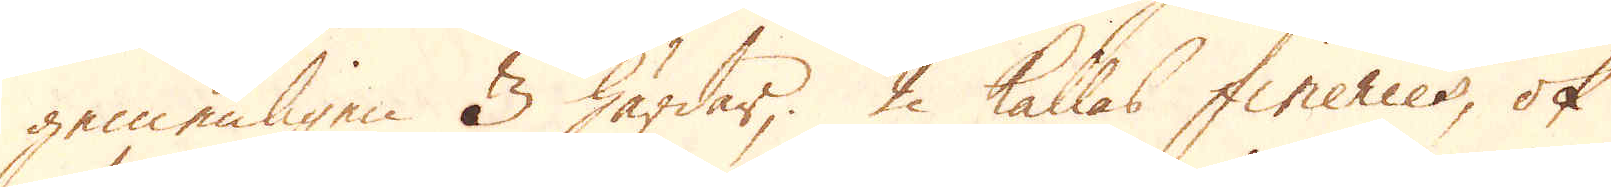gemenligen 3 härdar, 2 kalas fineries, ok
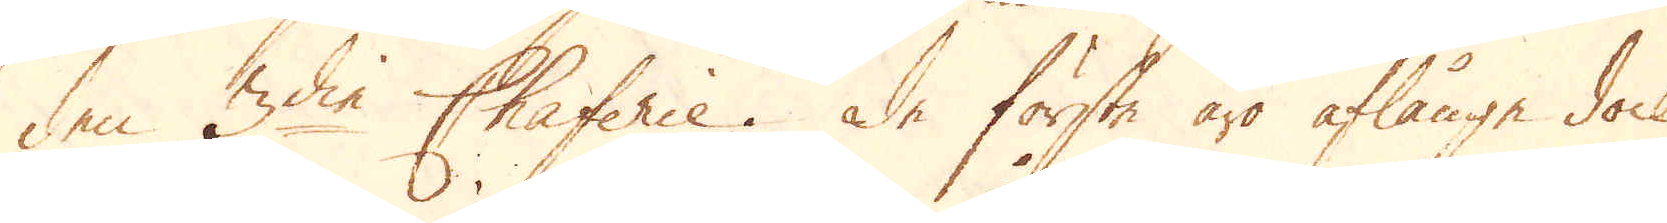den 3die Chaferie. De första äro aflånga dock
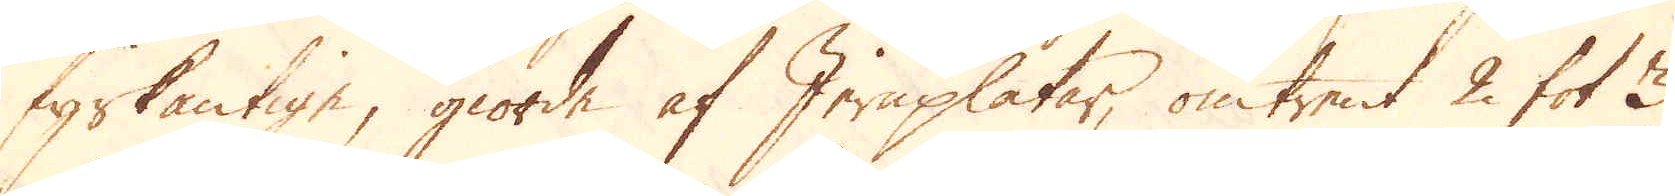fyrkantige, giorda af Jernplåtar, omtrent 2 fot 3
